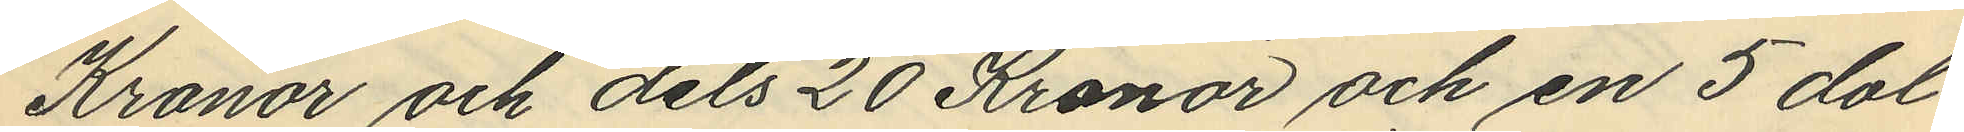Kronor och dels 20 Kronor och en 5 dol¬
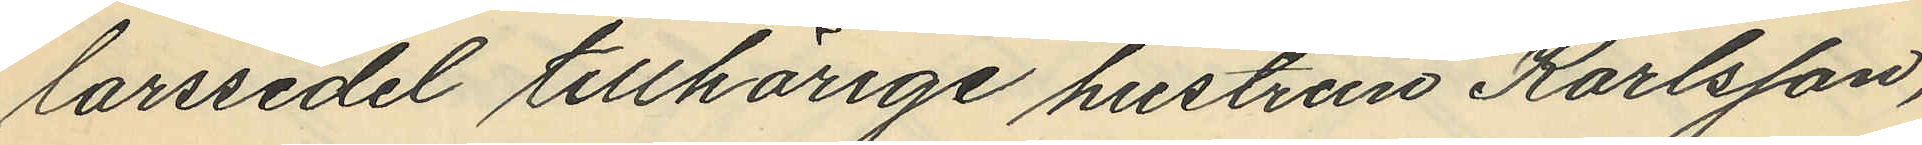larssedel tillhörige hustrun Karlsson,
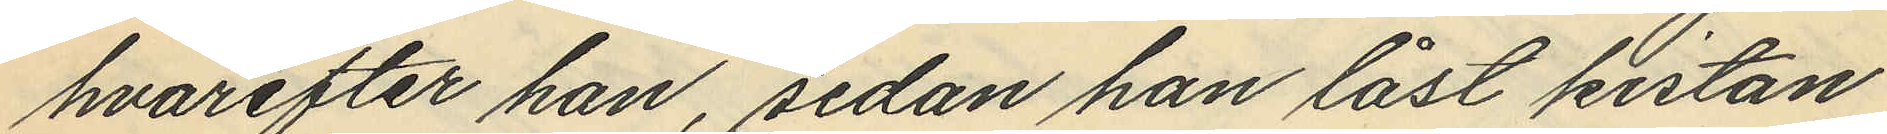hvarefter han, sedan han låst kistan
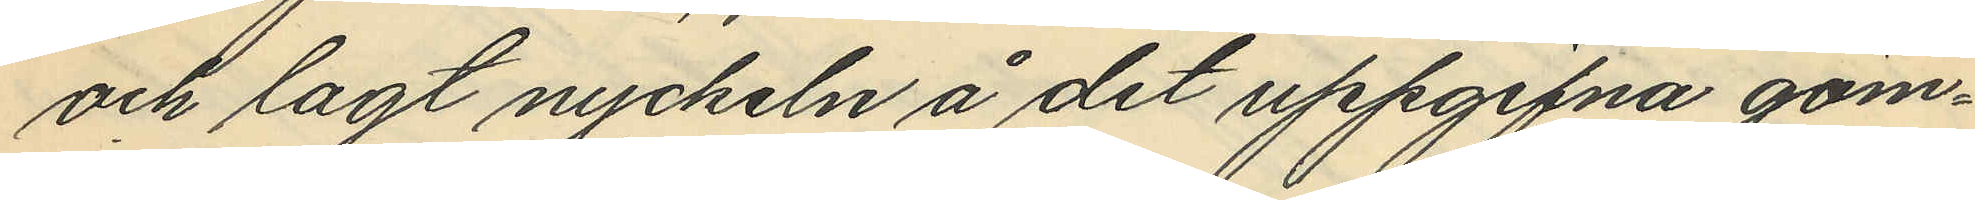och lagt nyckeln å det uppgifna göm¬
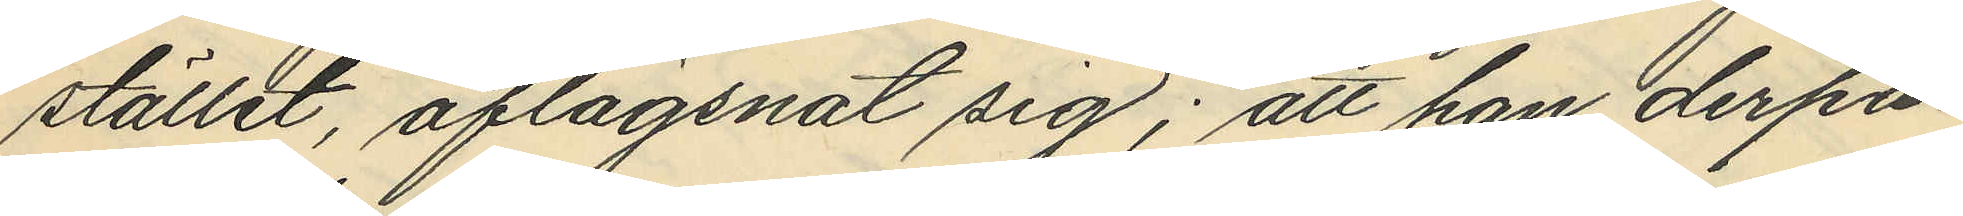stället, aflägsnat sig; att han derpå¬
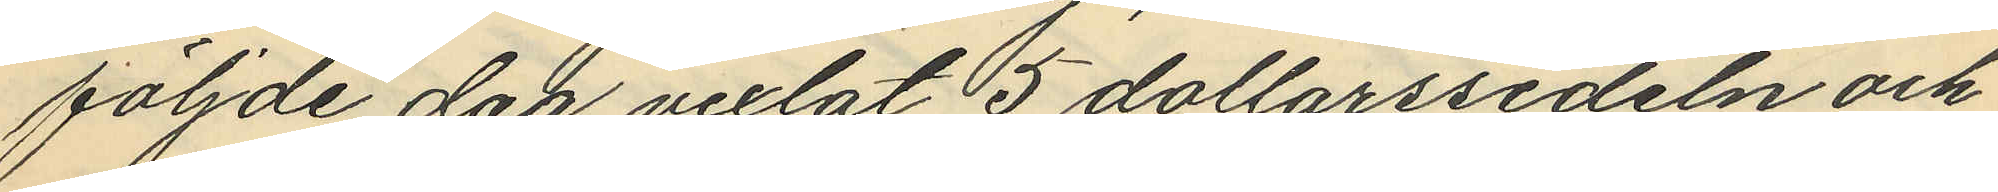följde dag vexlat 5 dollarssedeln och
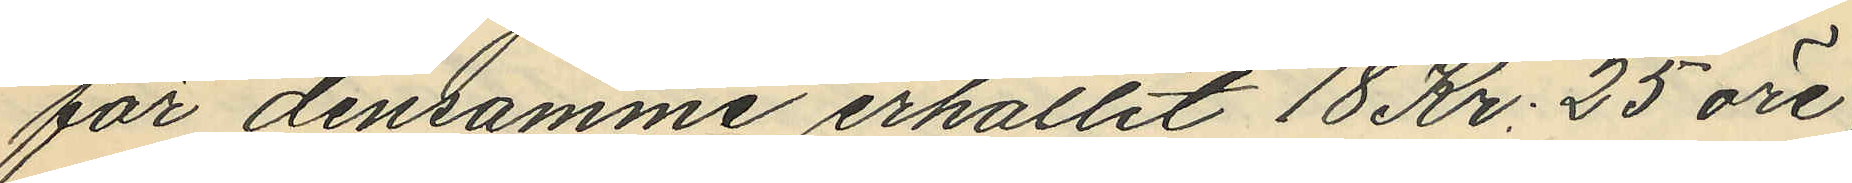för densamme erhållit 18 Kr. 25 öre,
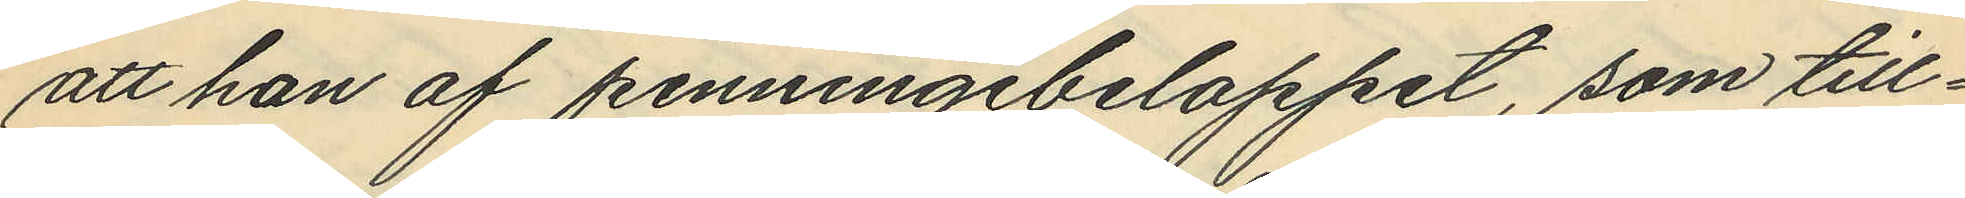att han af penningebeloppet, som till¬
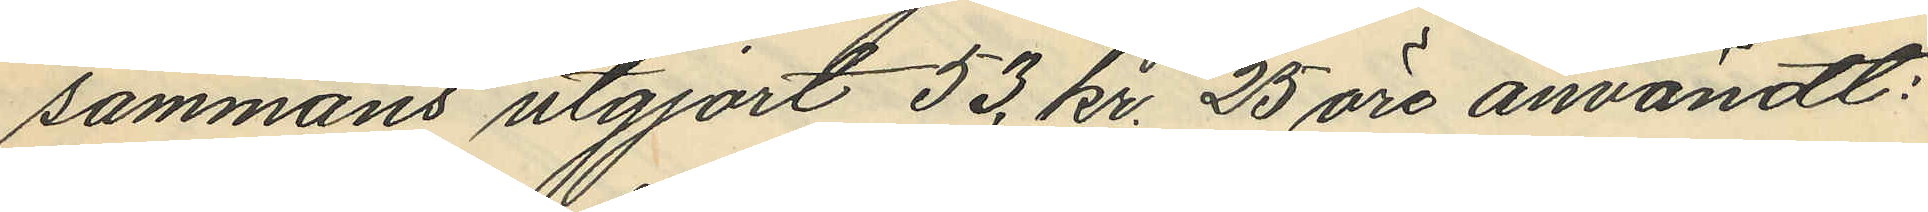sammans utgjort 53 kr. 25 öre användt:
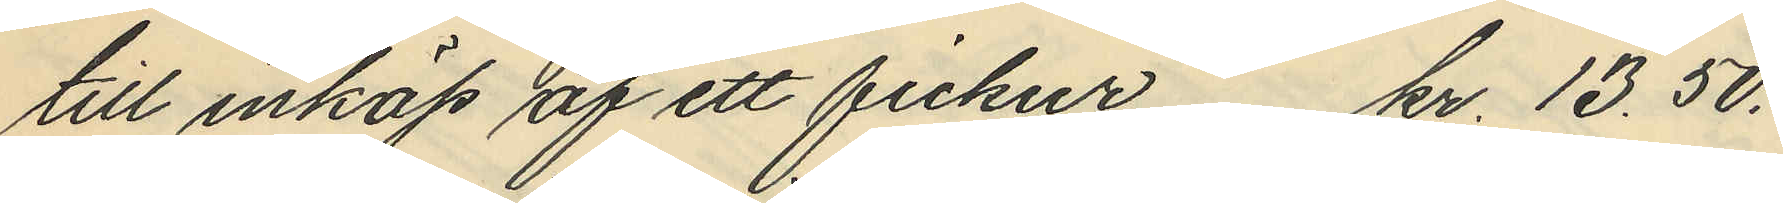till inköp af ett fickur kr. 13,50.
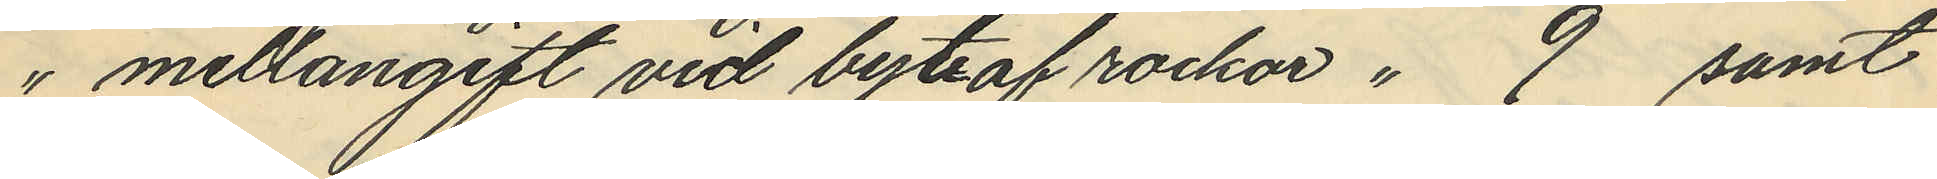" mellangift vid byte af rockar " 9 samt
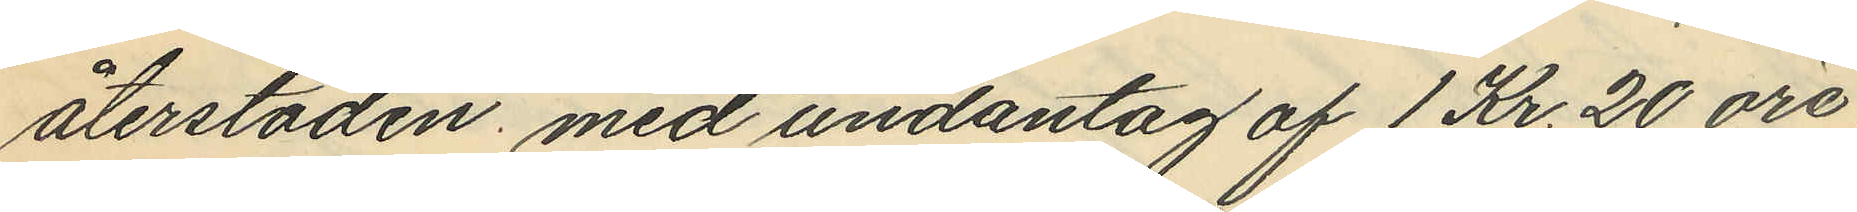återstoden med undantag af 1 Kr. 20 öre
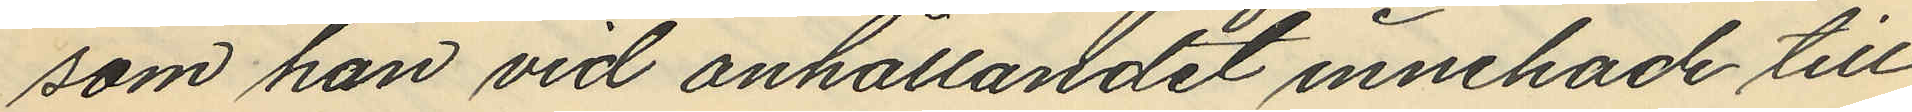som han vid anhållandet innehade till
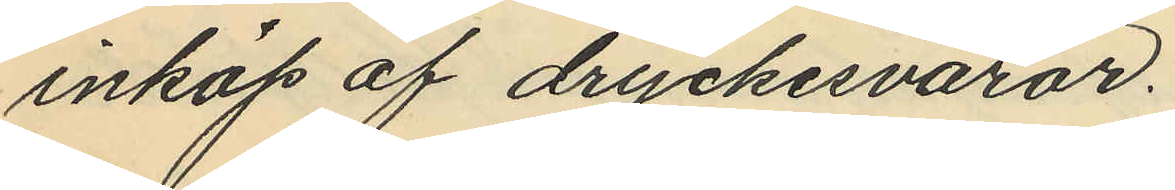inköp af dryckesvaror.
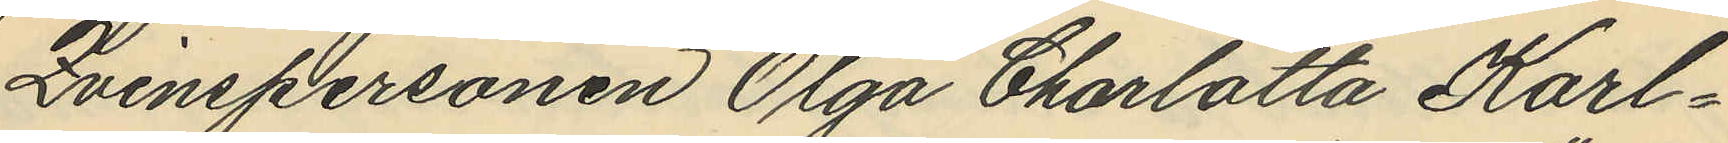Qvinspersonen Olga Charlotta Karl¬
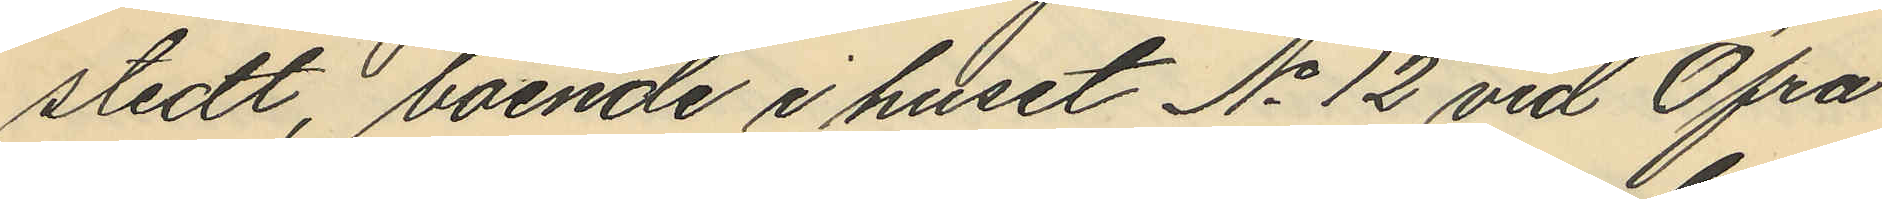stedt, boende i huset No 12 vid Öfra
